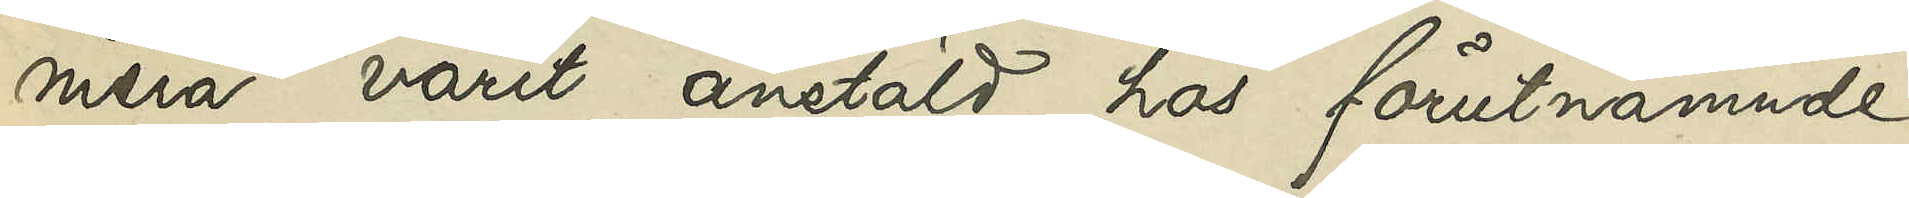mera varit anstäld hos förutnämnde
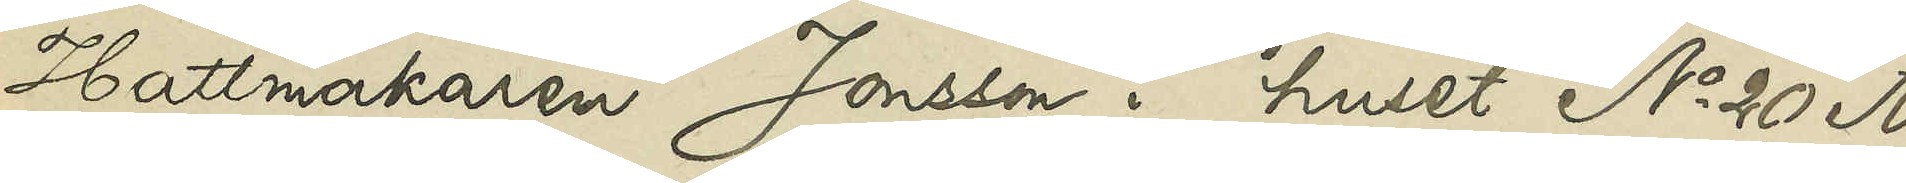Hattmakaren Jonsson i huset No 20 A
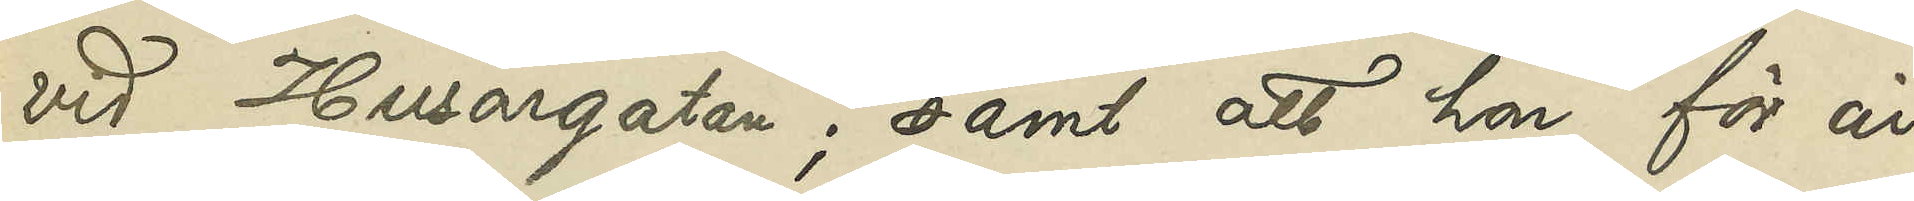vid Husargatan; samt att hon för år
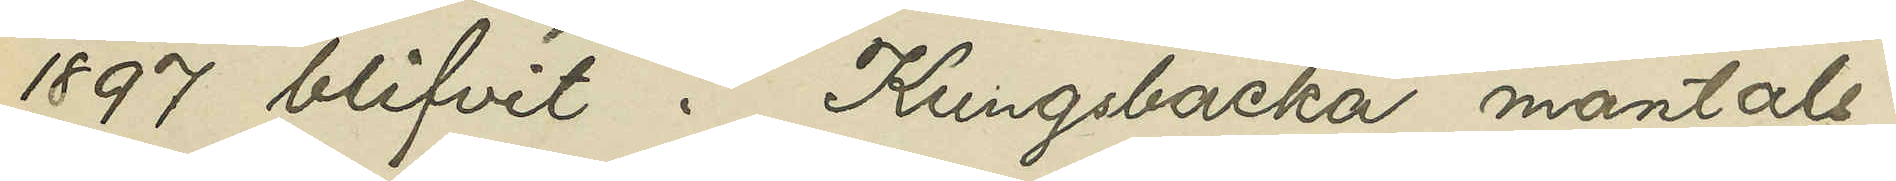1897 blifvit i Kungsbacka mantals¬
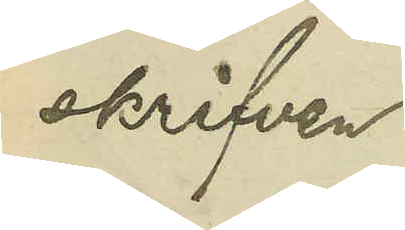skrifven.
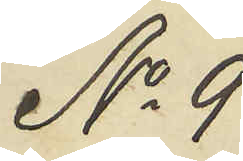No 9
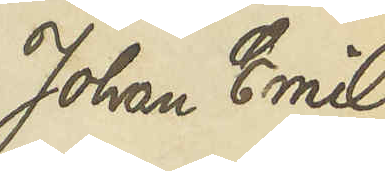Johan Emil
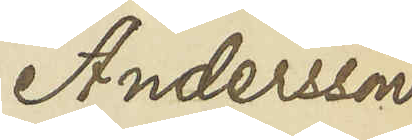Andersson
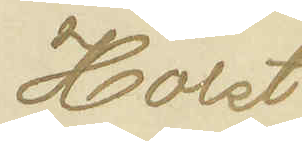Holst
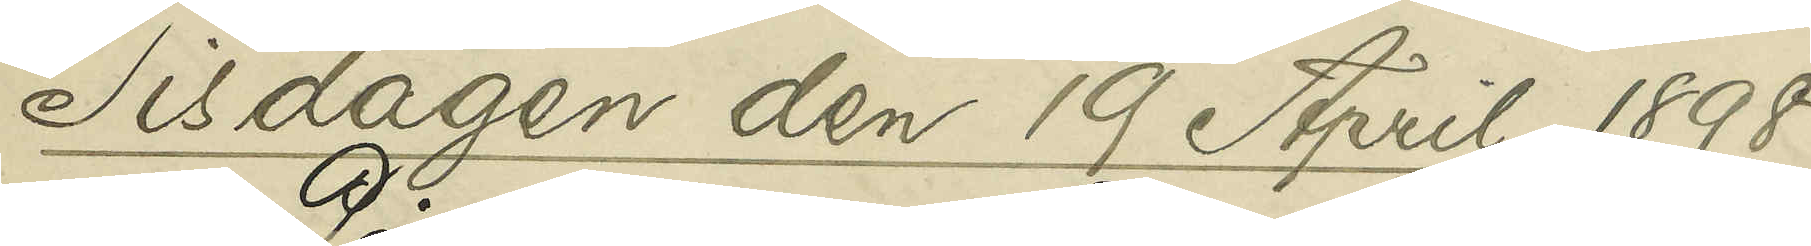Tisdagen den 19 April 1898
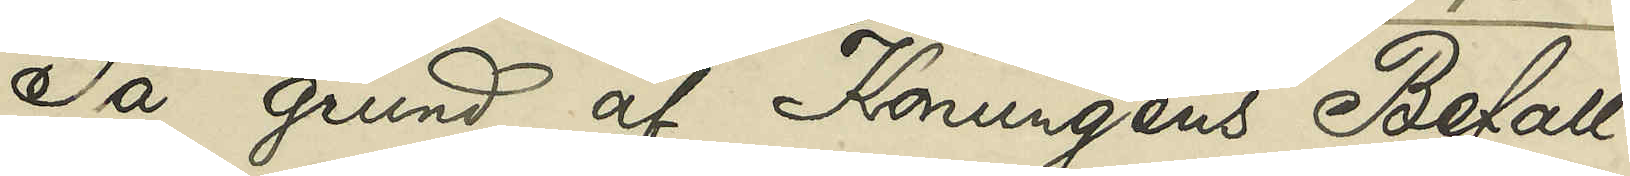På grund af Konungens Befall¬
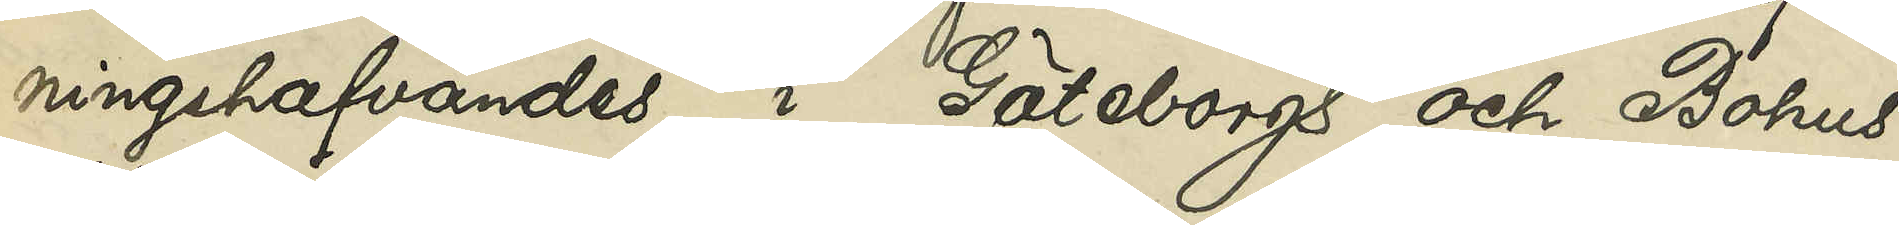ningshafvandes i Göteborgs och Bohus
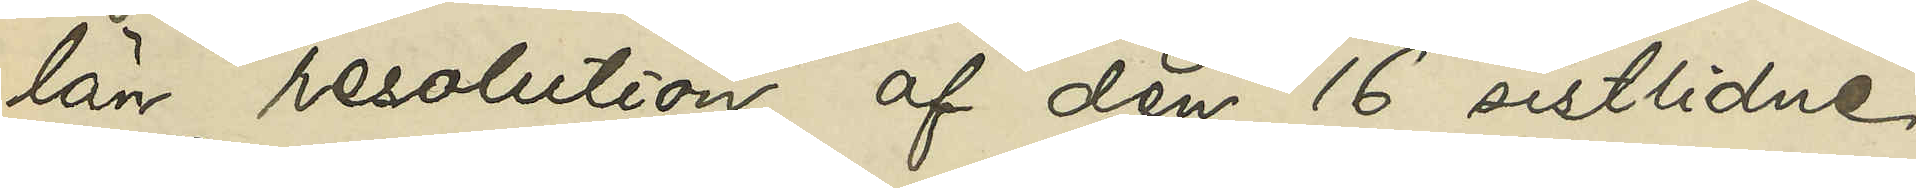län resolution af den 16 sistlidne
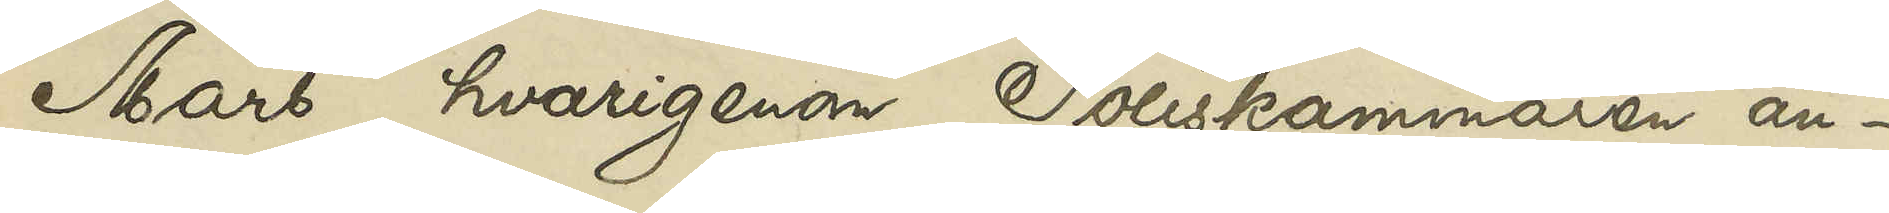Mars, hvarigenom Poliskammaren an¬
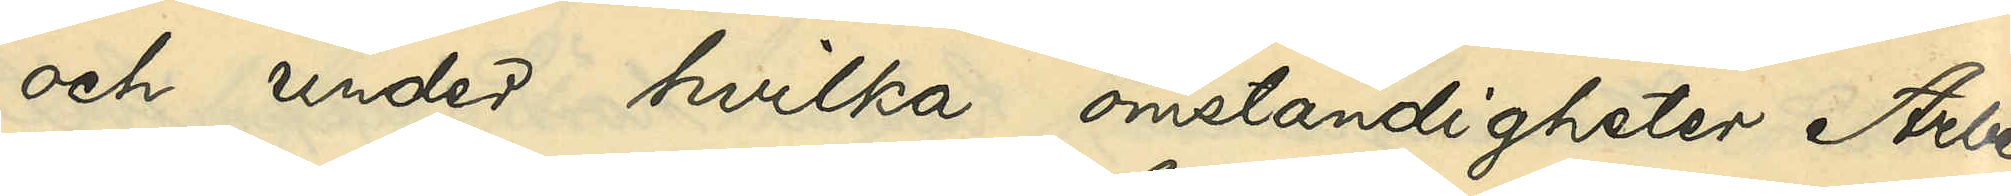och under hvilka omständigheter Arbe¬
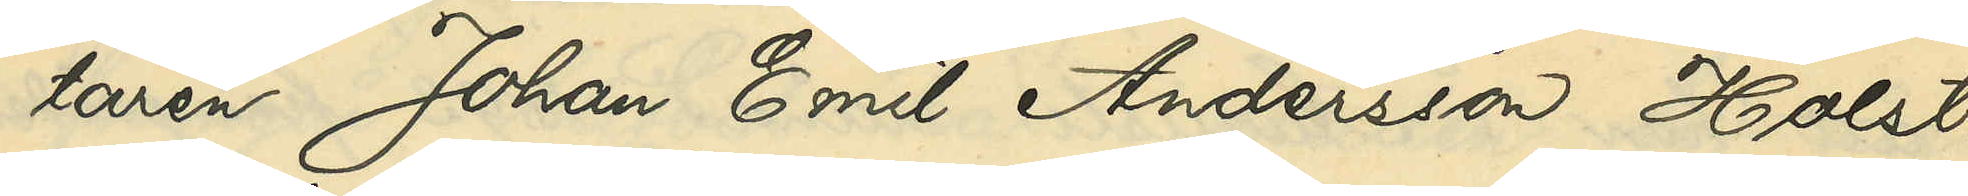taren Johan Emil Andersson Holst
